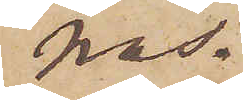nas.
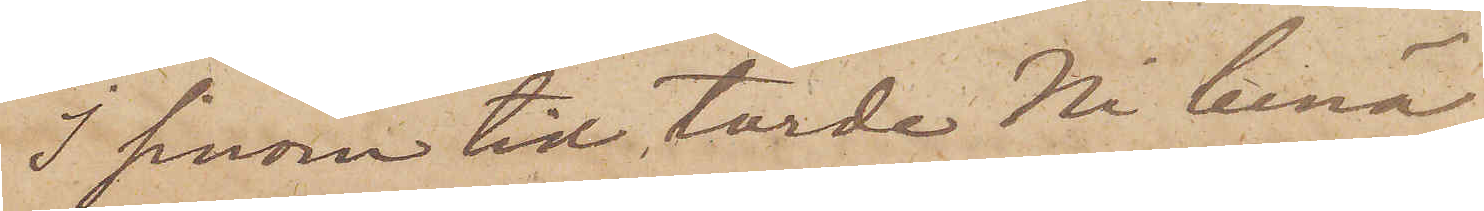I sinom tid torde Ni benä¬
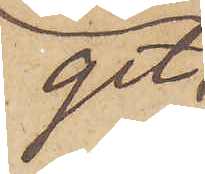get
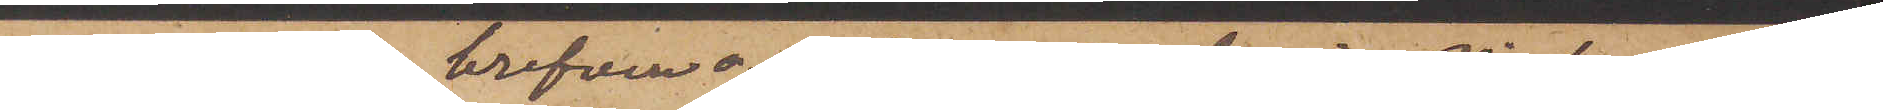återsända brefven o. qvittenset, dervid Ni kanske beha¬
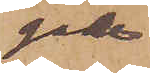gade
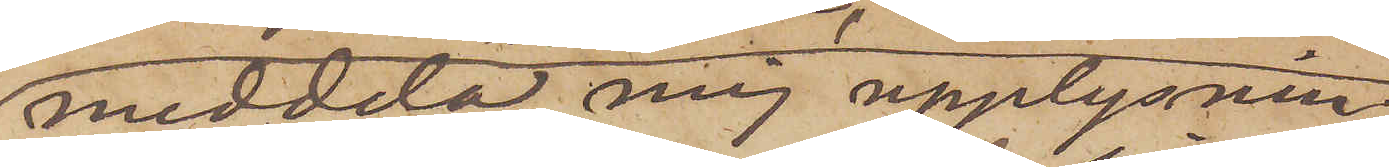meddela mig upplysnin¬
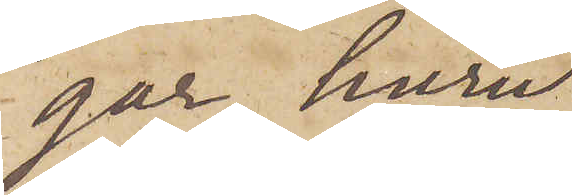gar huru
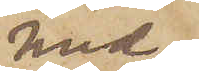med
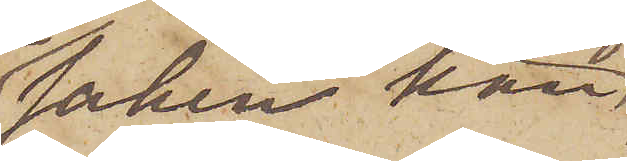saken kan 
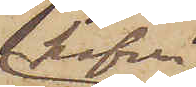hafva
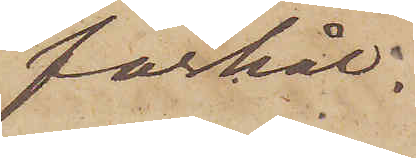förhål¬
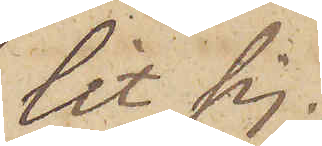lit sig.
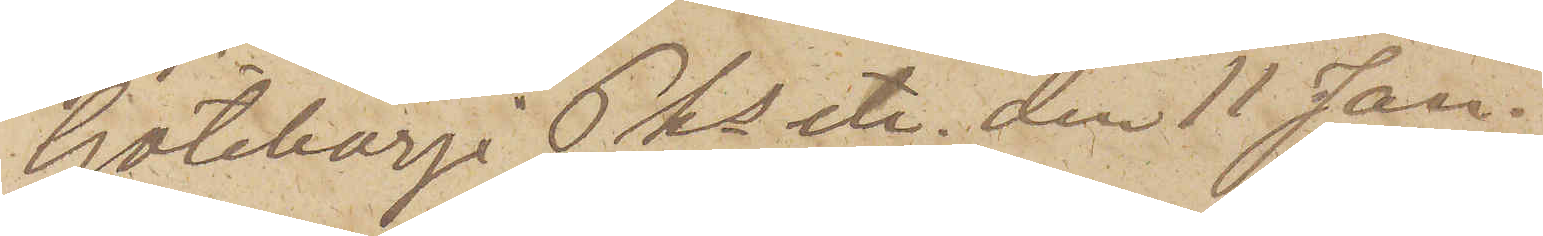Göteborg i Pks etc. den 11 Jan.
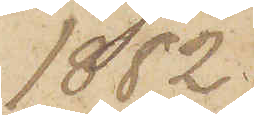1882.
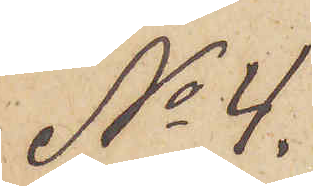No 4.
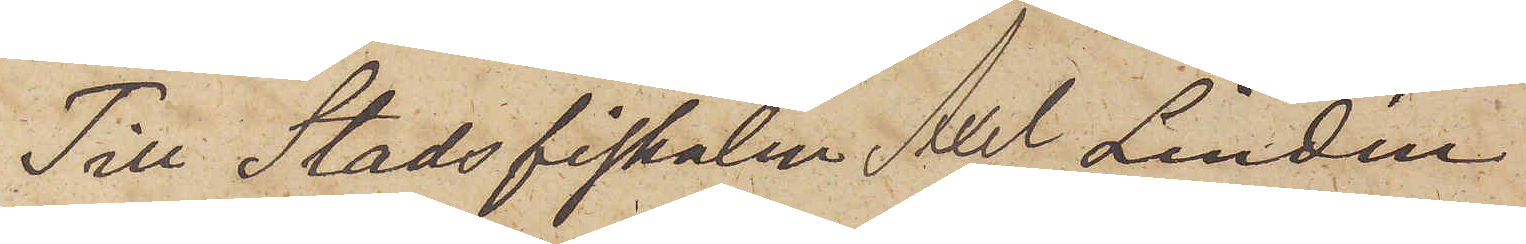Till Stadsfiskalen Axel Lindén
